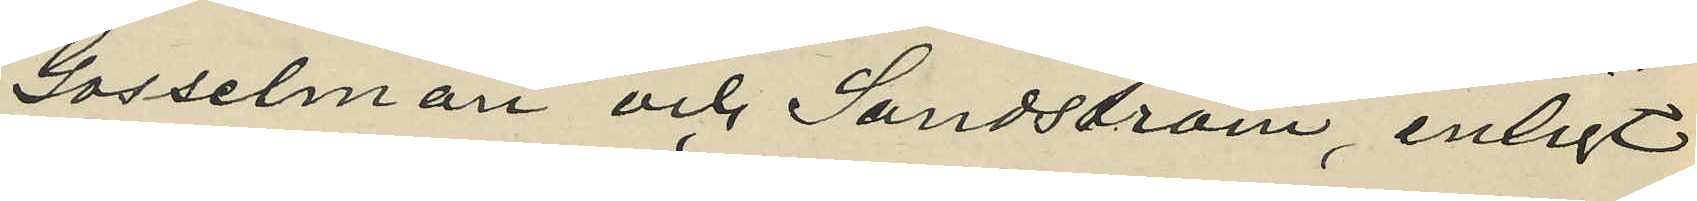Gosselman och Sandström, enligt
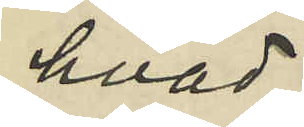hvad
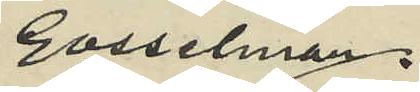Gosselman
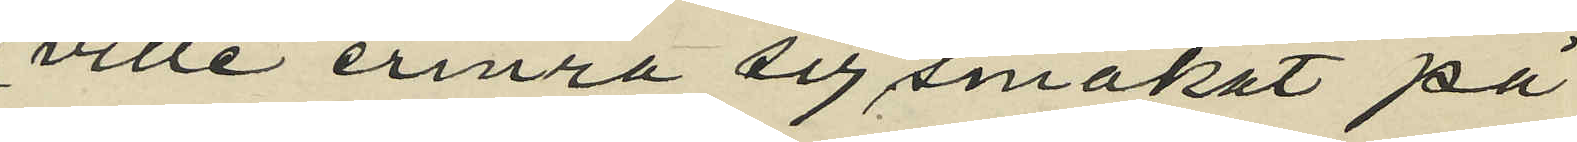ville erinra sig smakat på
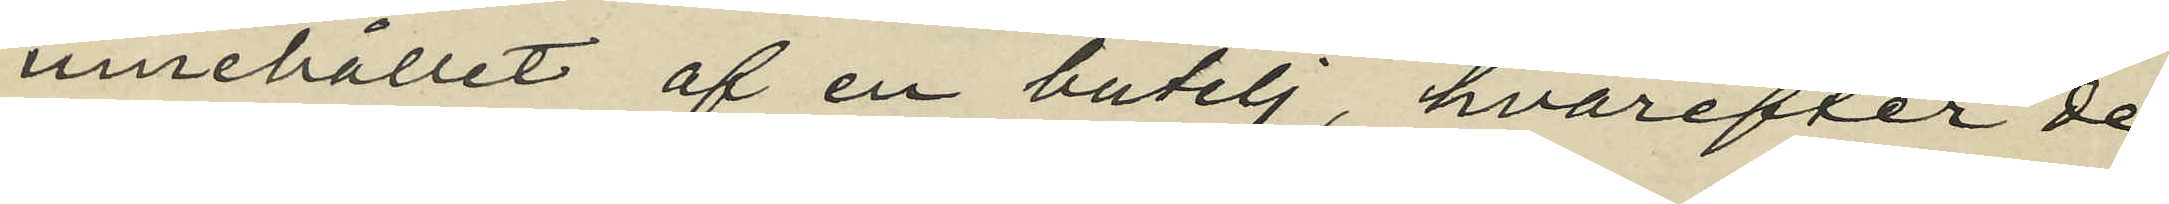innehållet af en butelj, hvarefter de
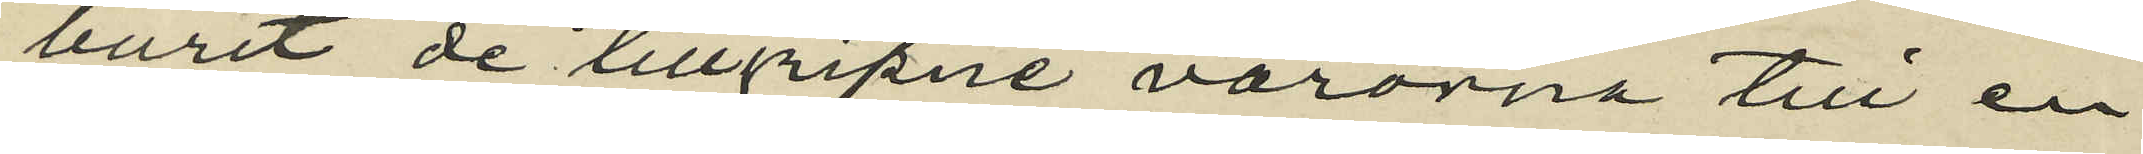burit de tillgripne varorna till en
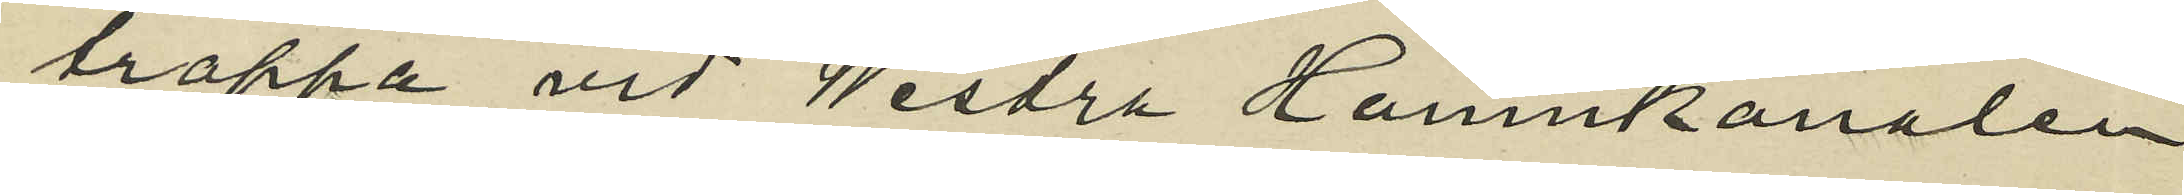trappa vid Westra Hamnkanalen
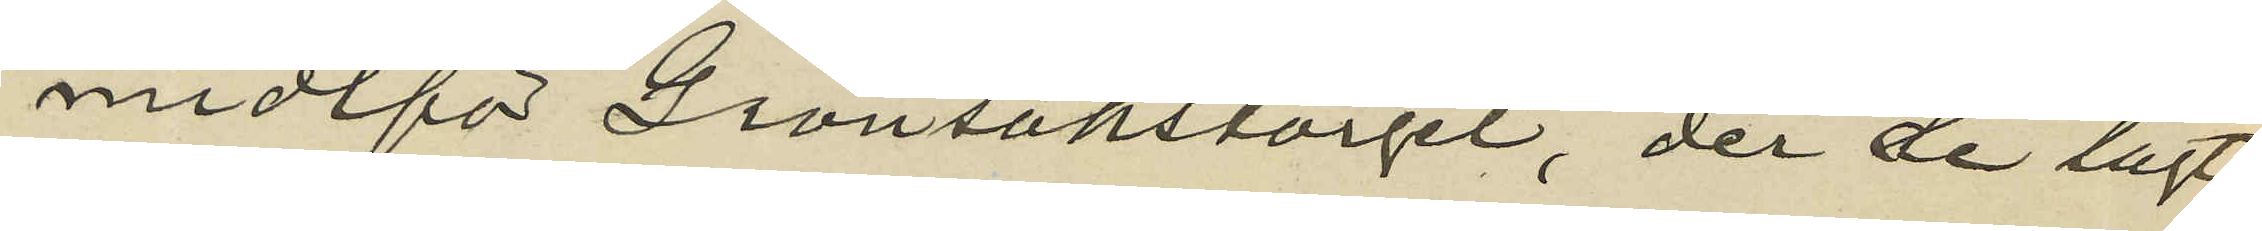midtför Grönsakstorget, der de lagt
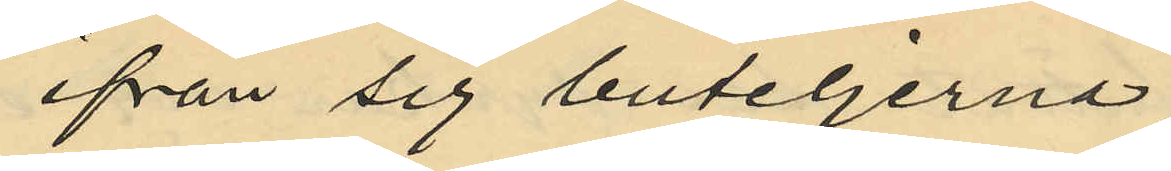ifrån sig buteljerna
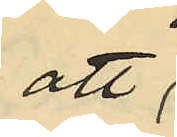att
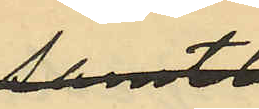sedan
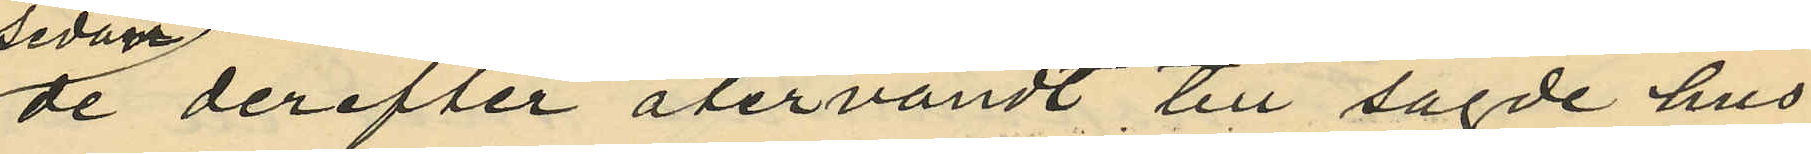de derefter återvändt till sagde hus
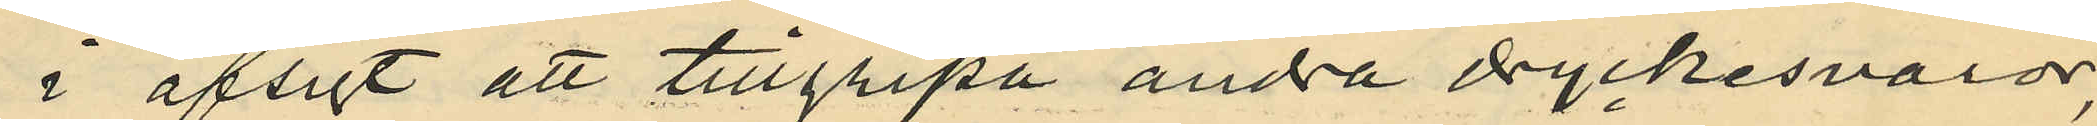i afsigt att tillgripa andra dryckesvaror,
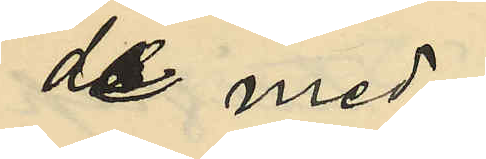de med
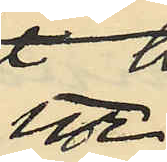ur
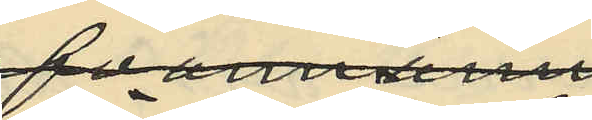förutnämnde
